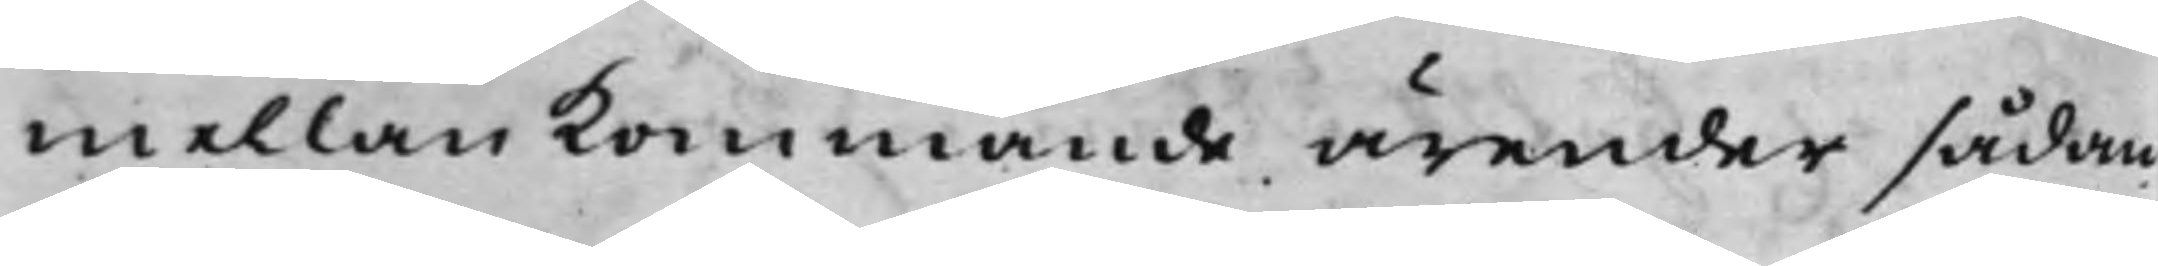mellan kommande ärender sådan
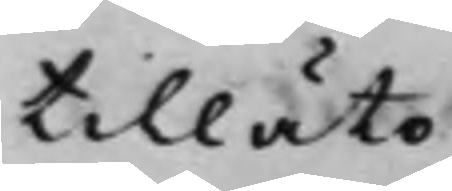tillåto.
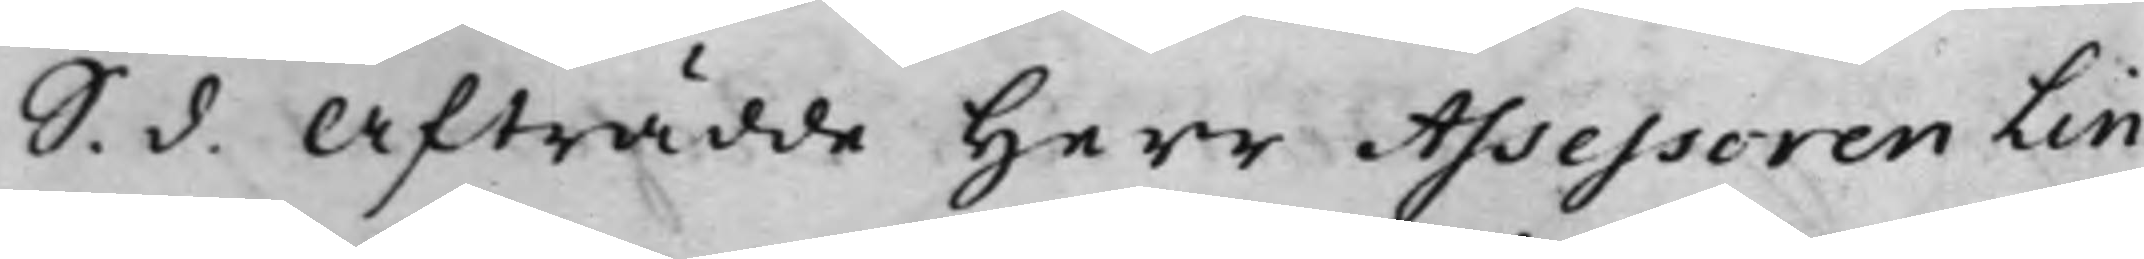S. d. Afträdde Herr Assessoren Lin¬
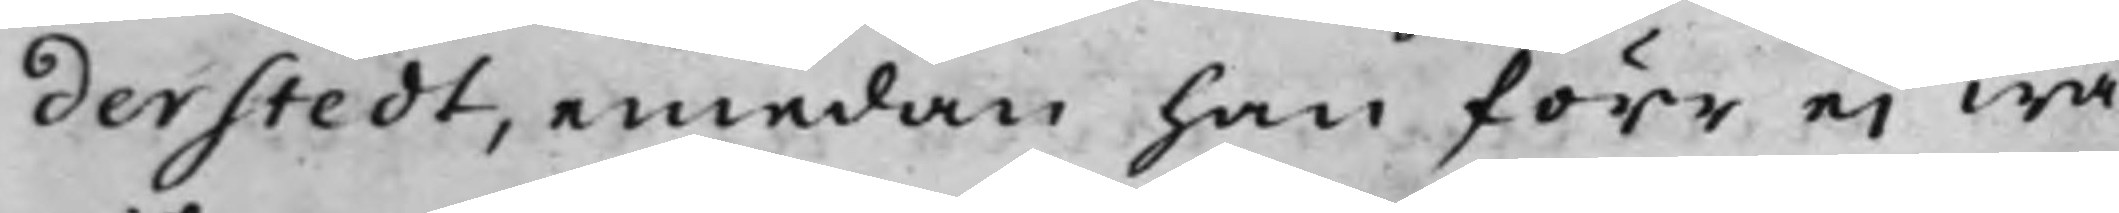derstedt, emedan han förr ei wa¬
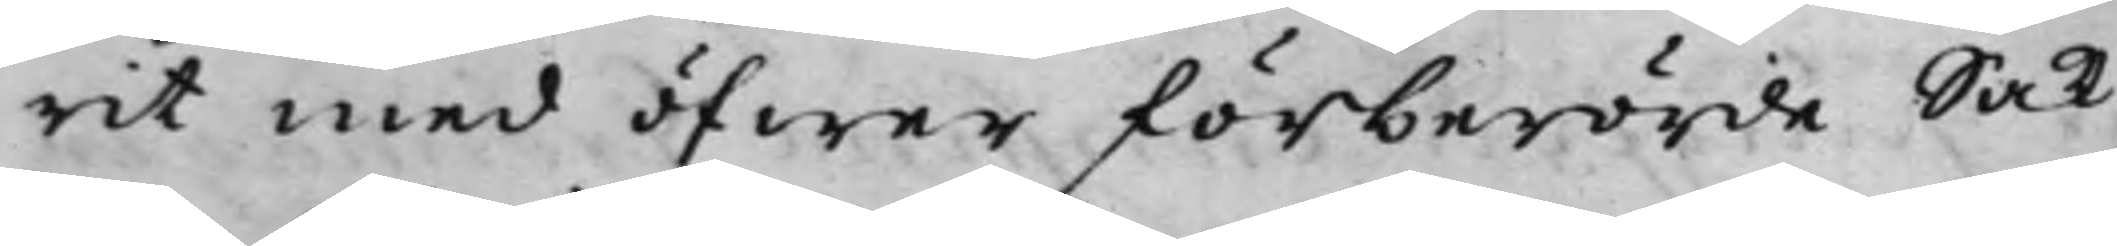rit med öfwer förberörde Sak.
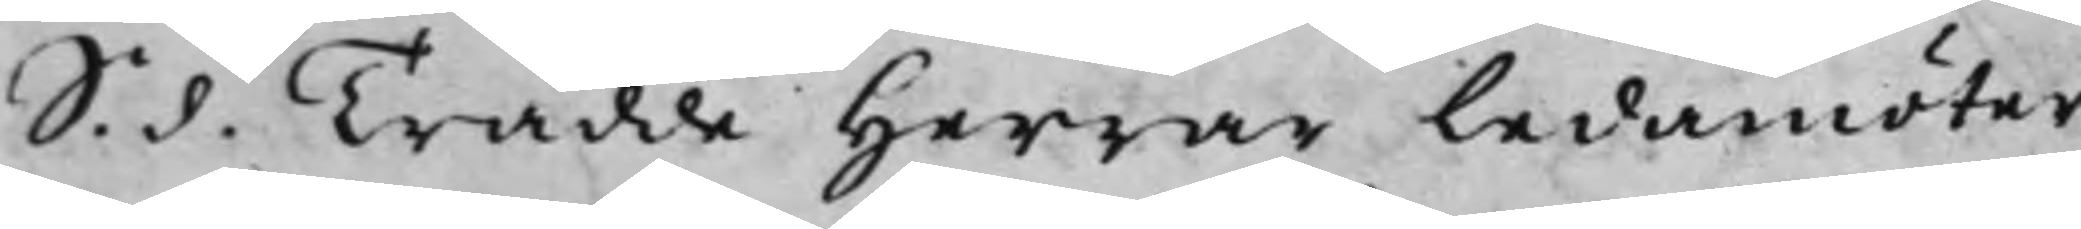S. d. Trädde Herrar Ledamöter¬
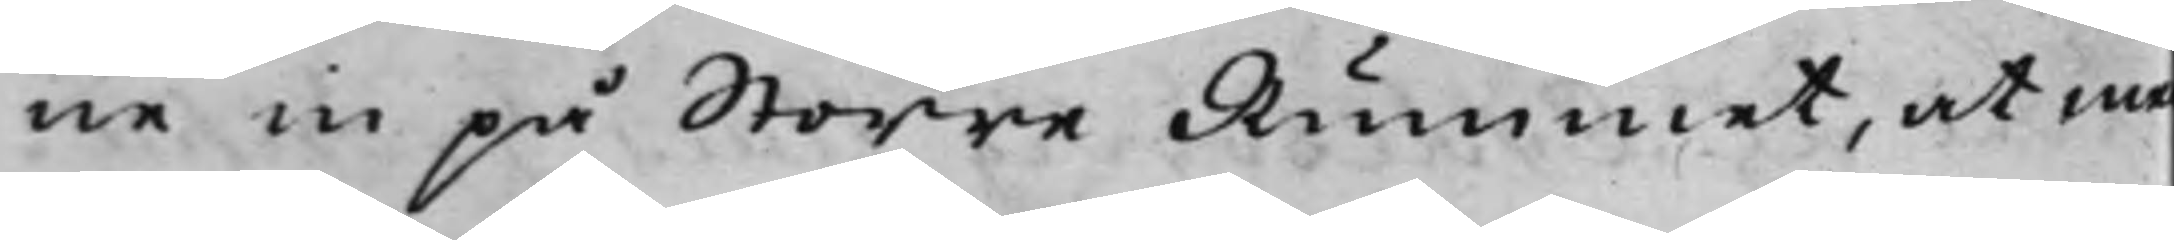ne in på Större Rummet, at med
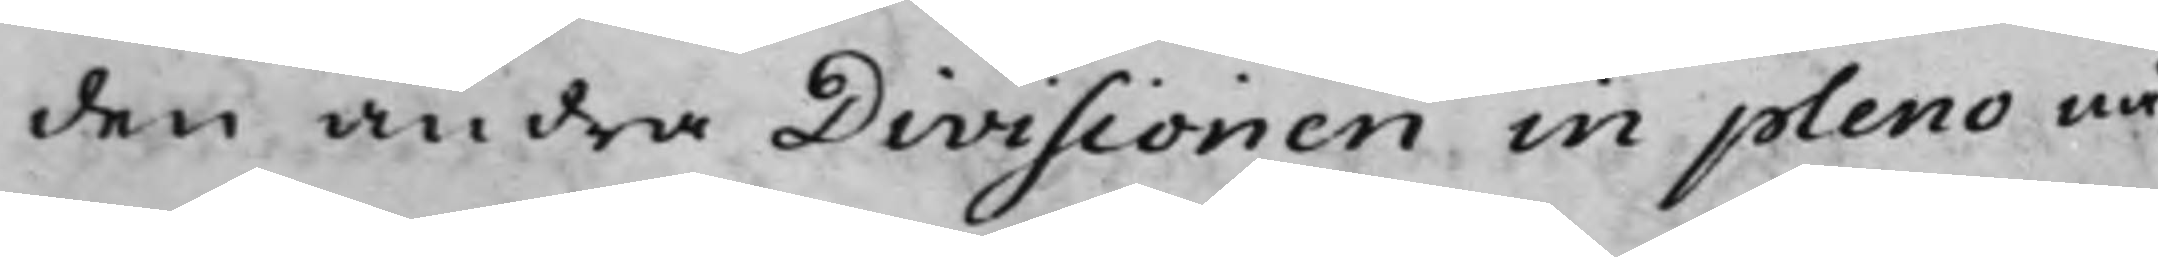den andra Divisionen in pleno nå¬
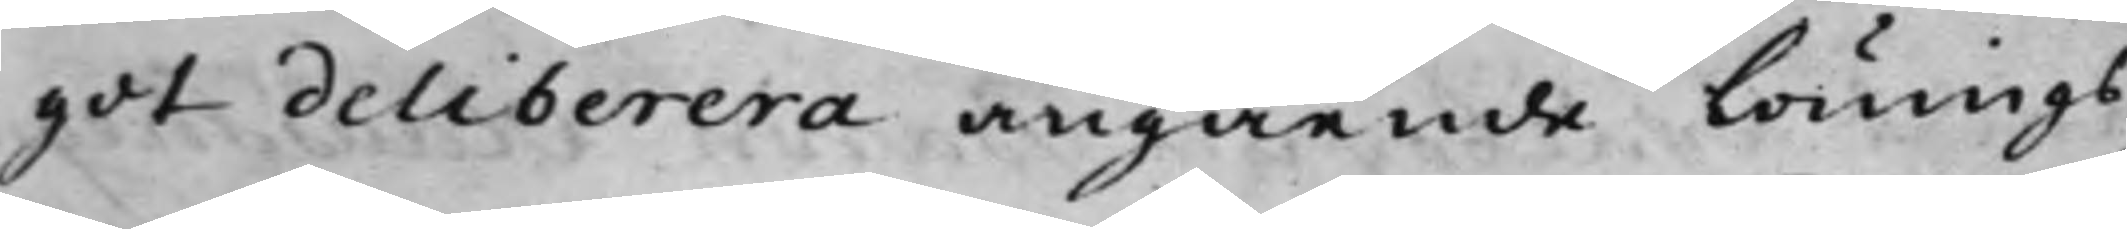got deliberera angående Lönings¬
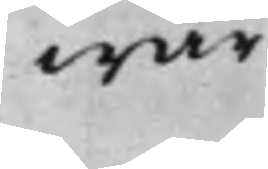wär¬
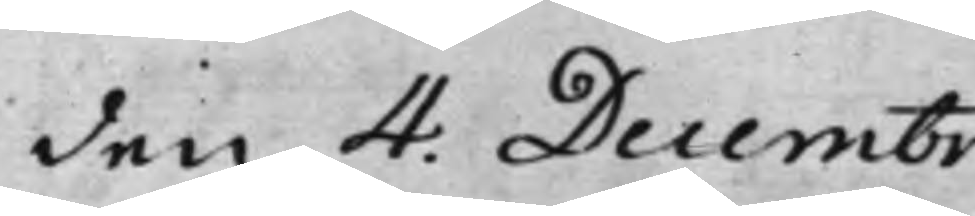den 4: Decembr.
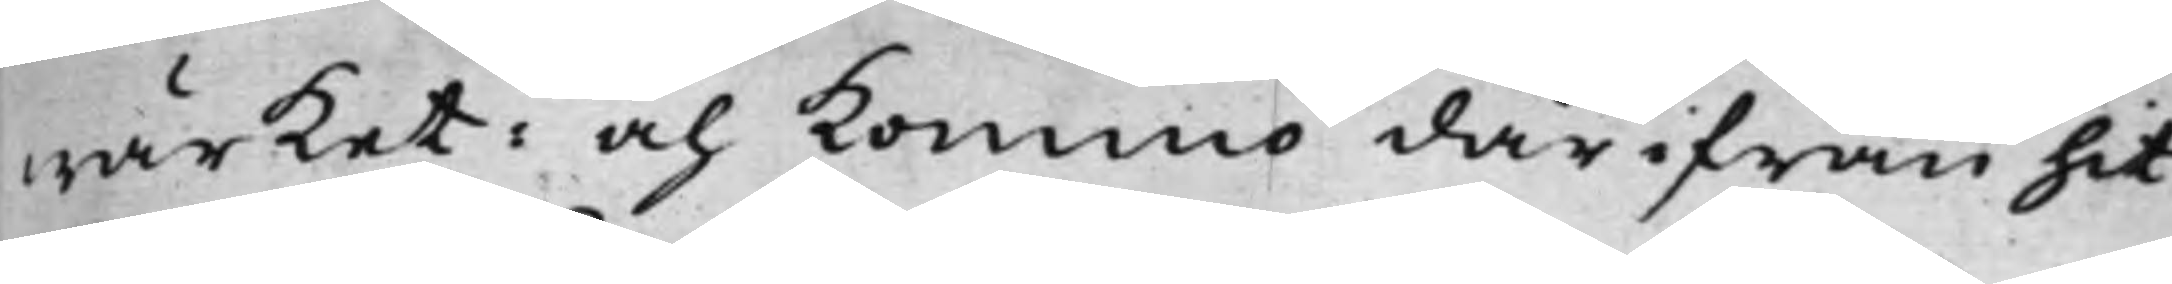wärket: och kommo där ifrån hit
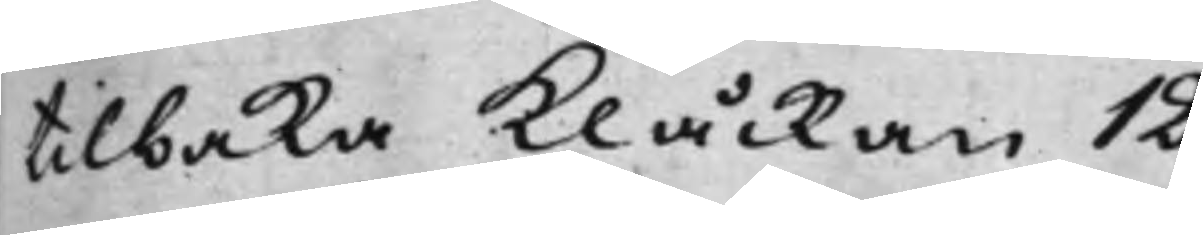tilbaka Klåckan 12.
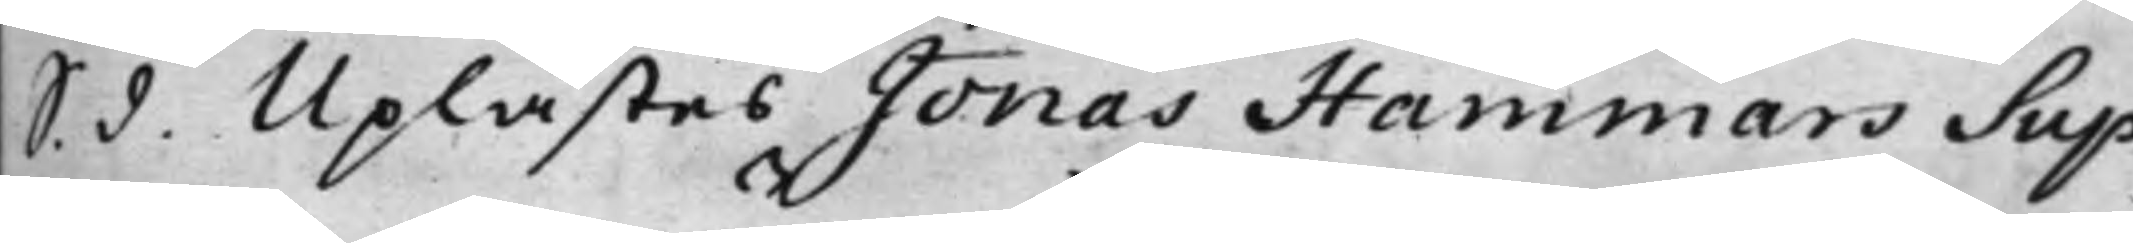S. d. Uplästes Jonas Hammars Sup¬
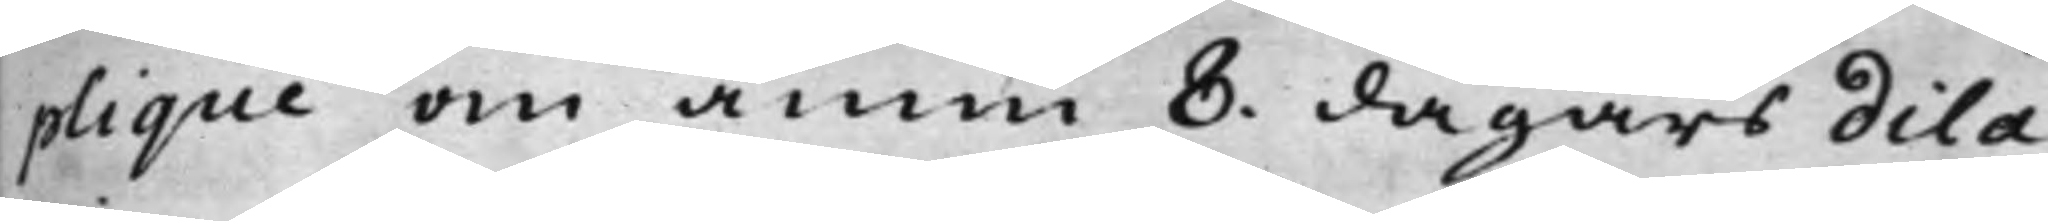plique om ännu 8 dagars dila¬
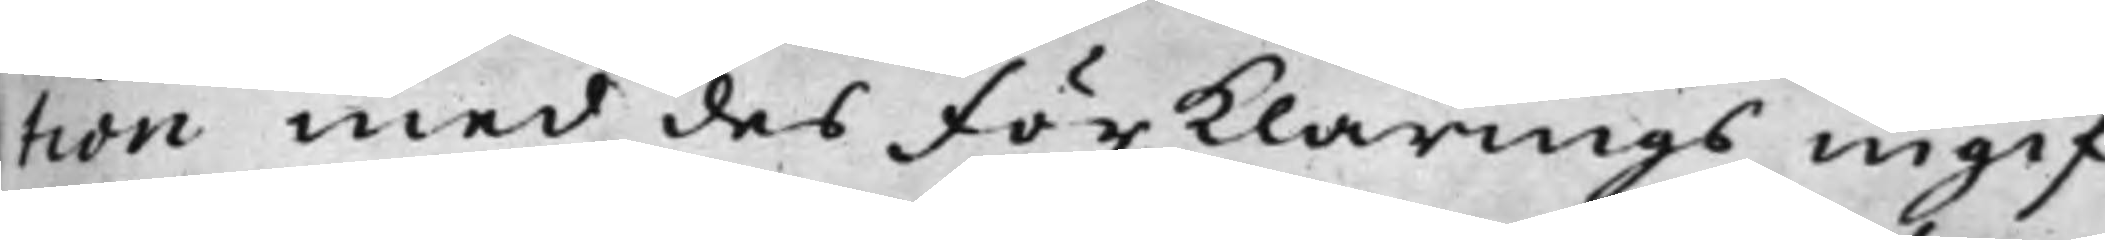tion med des Förklarings ingif¬
